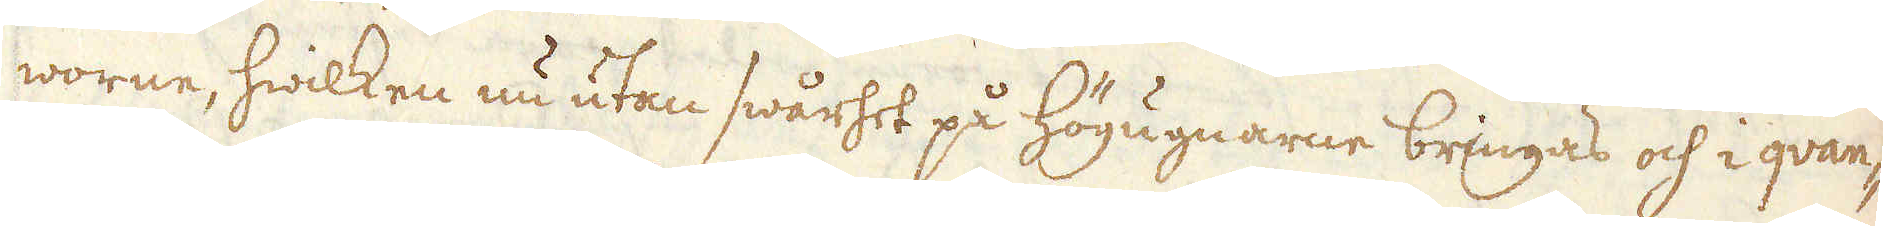worne, hwilken nu utan swårhet på Högugnarne bringas och i qvan-
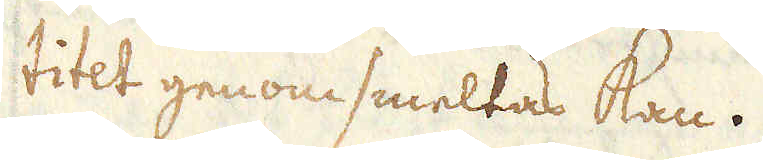titet genomsmeltas kan.
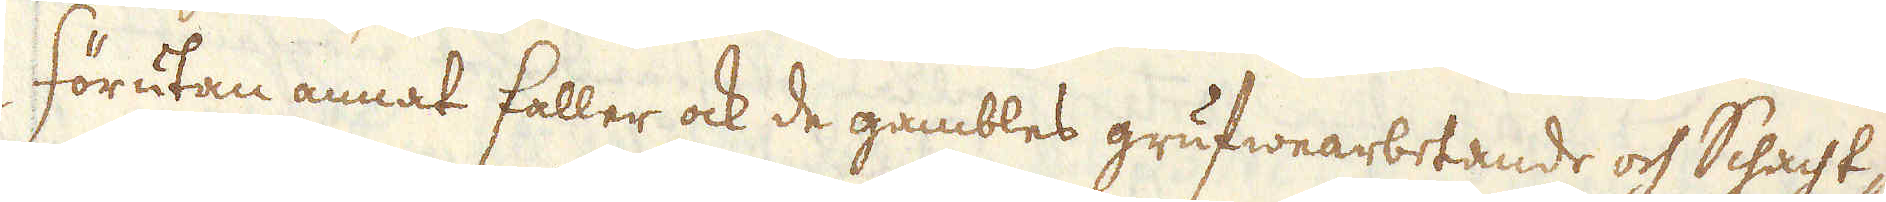Förutan annat faller ock de gambles grufwearbetande och Schacht-
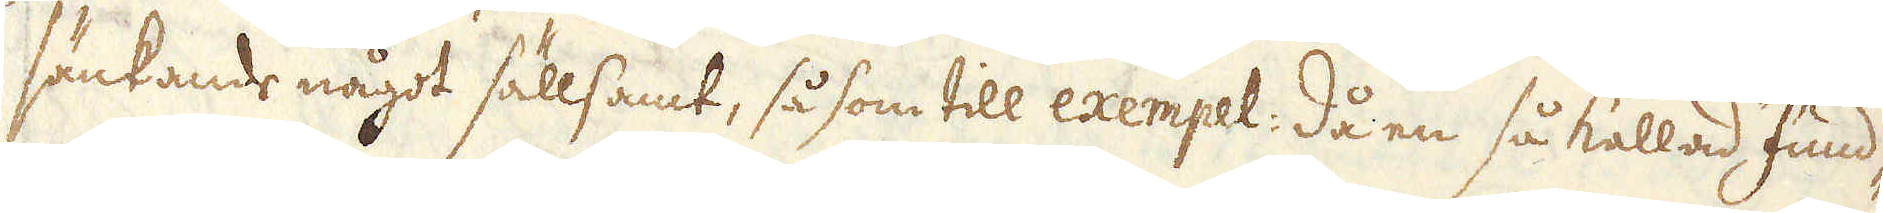sänkande något sällsamt, så som till exempel: då en så kallad Fund-
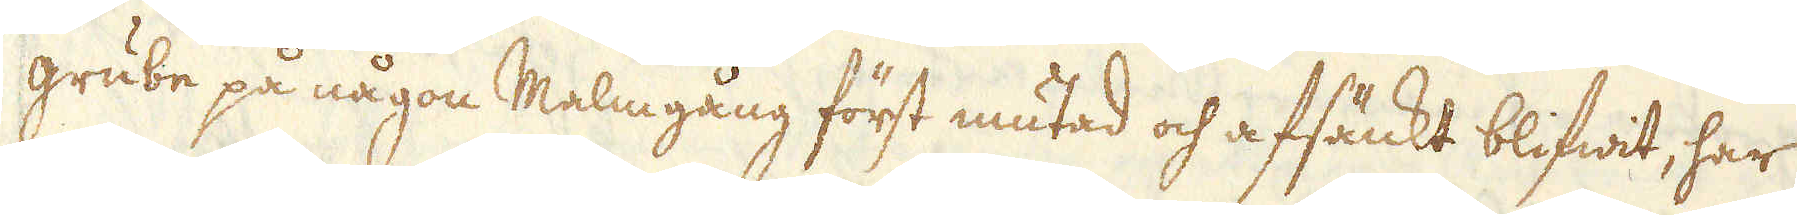grube på någon Malmgång först mutad och afsänkt blifwit, har
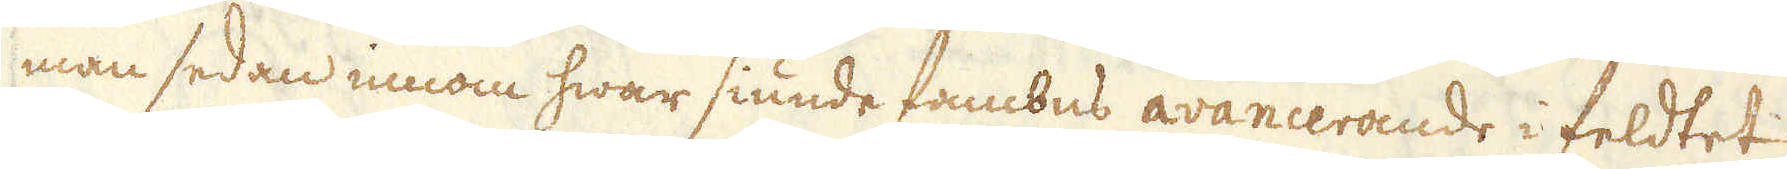man sedan innom hwar siunde fambns avancerande i feldtet
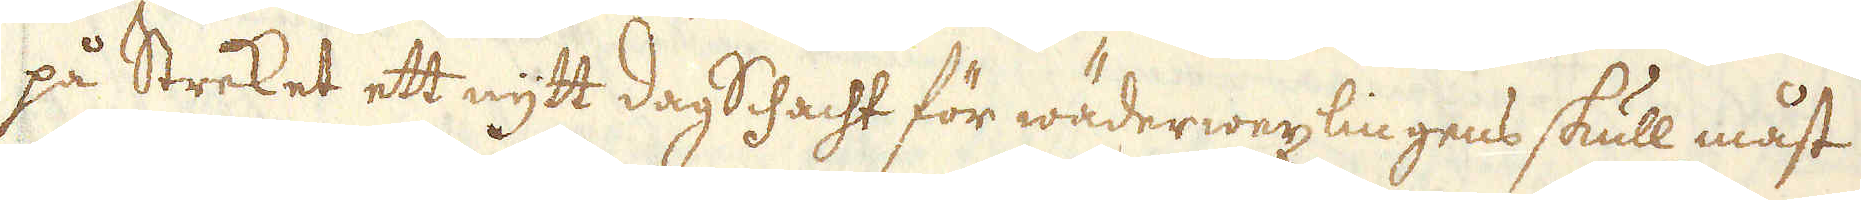på Streket ett nytt Dag Schacht för wäderwexlingens skull måst
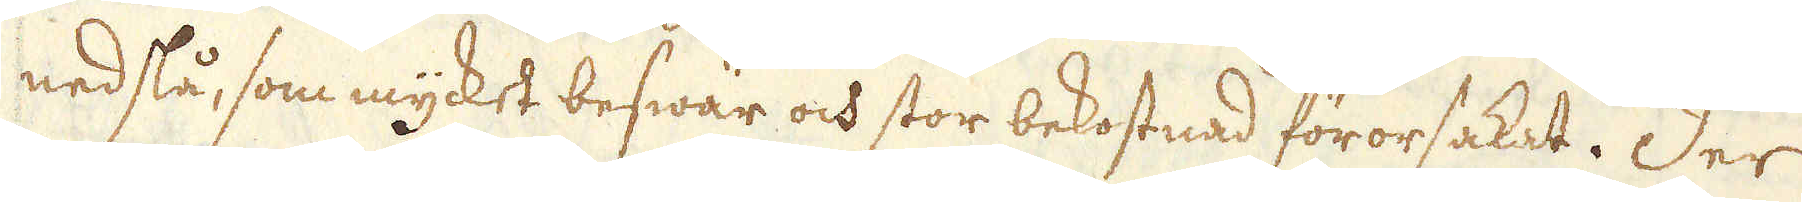nedslå, som mycket beswär och stor bekostnad förorsakat. Der
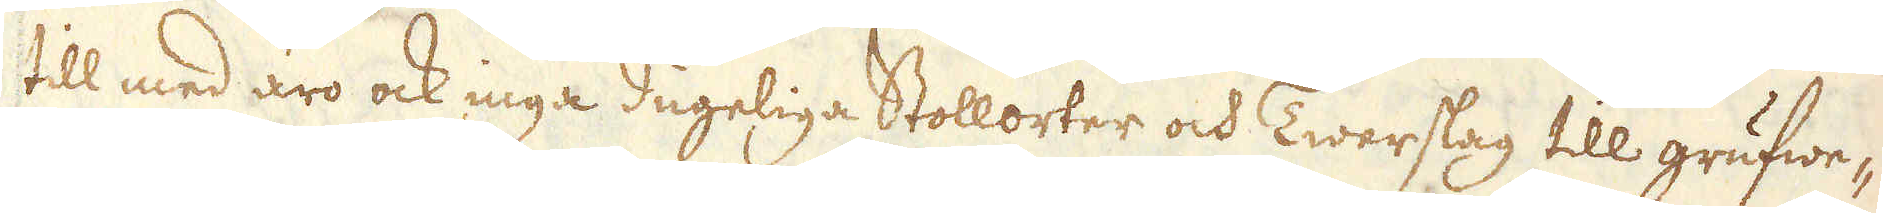till med äro ock inga dugeliga Stollorter och Twerslag till grufwe-
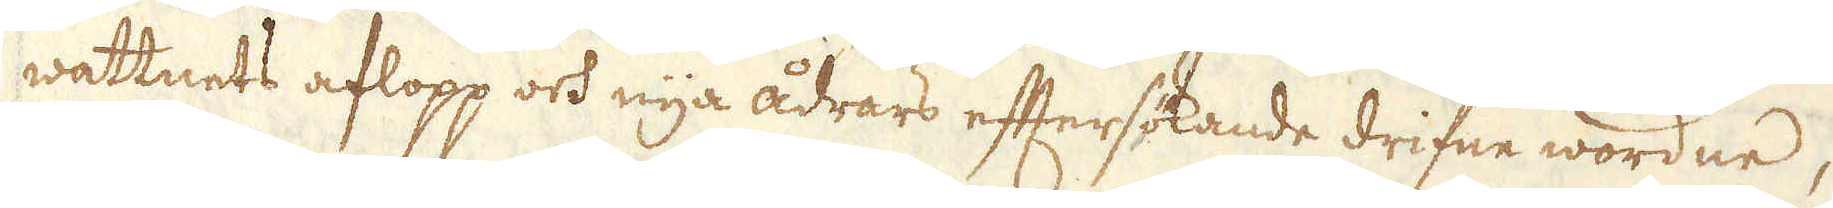wattnets aflopp och nya ådrars eftersökande drifne wordne,
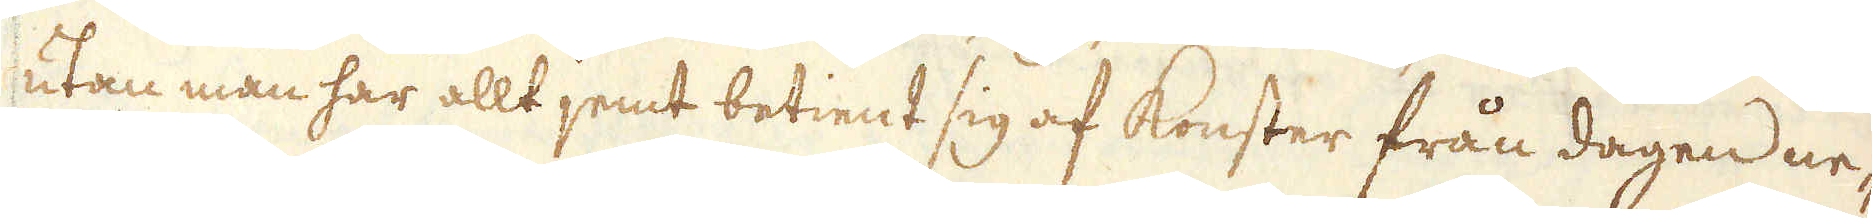utan man har allt jemt betient sig af Konster från dagen ne-
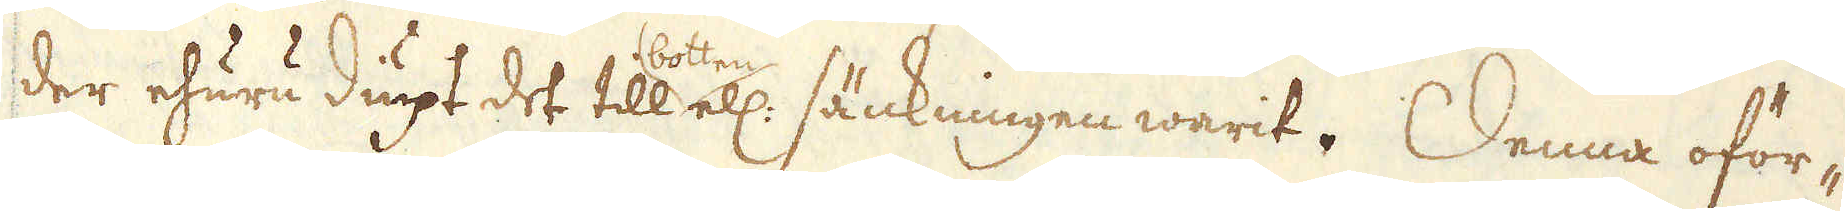der ehuru diupt det till botten ell: sänkningen warit. Denna oför-
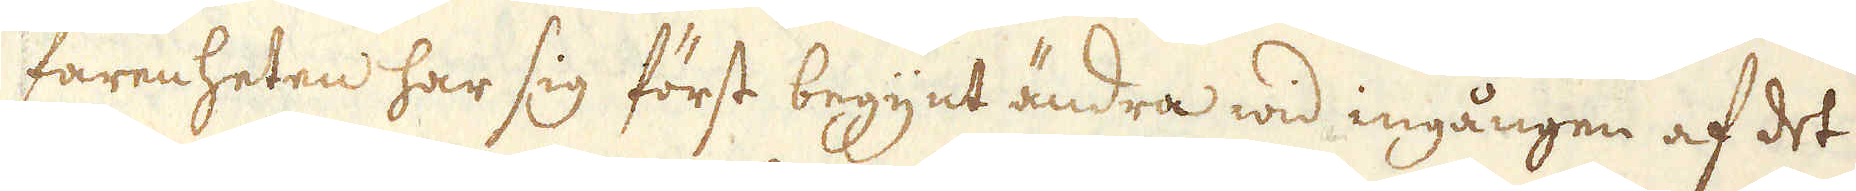farenheten har sig först begynt ändra wid ingången af det
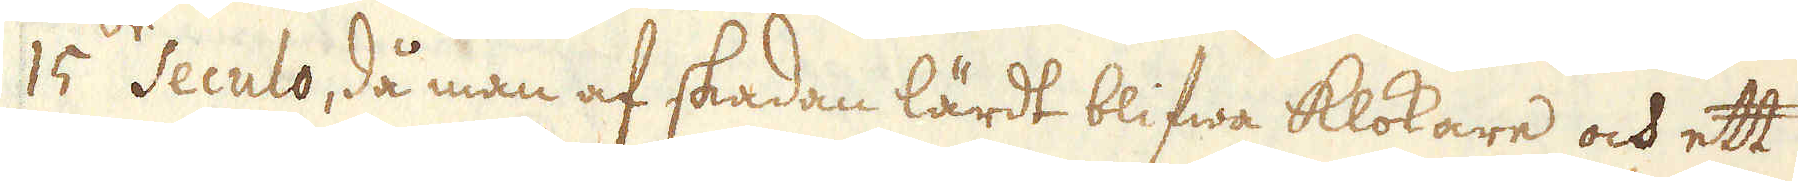15:de Seculo, då man af skadan lärdt blifwa klokare och ett
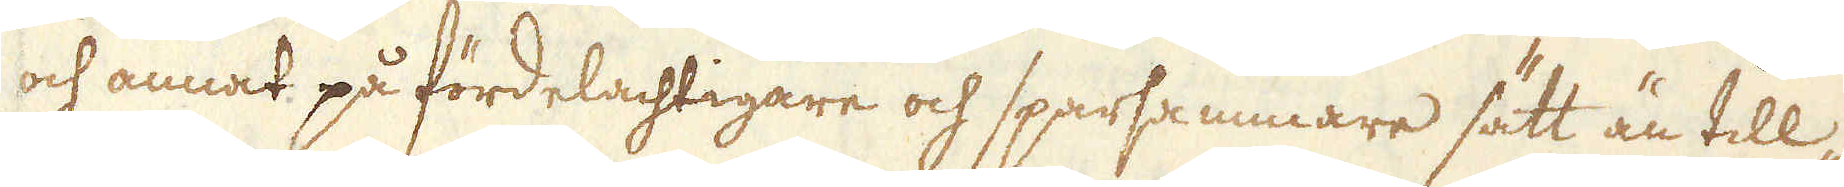och annat på fördelachtigare och sparsammare sätt än till-
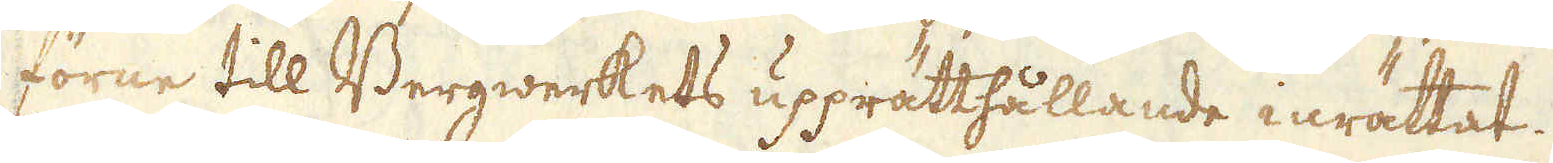förne till Bergwerkets upprätthållande inrättat.
